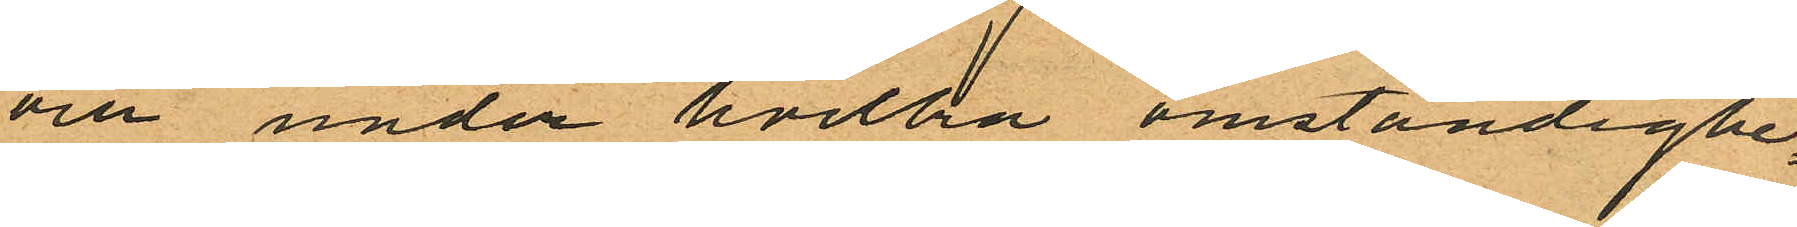och under hvilka omständighe¬
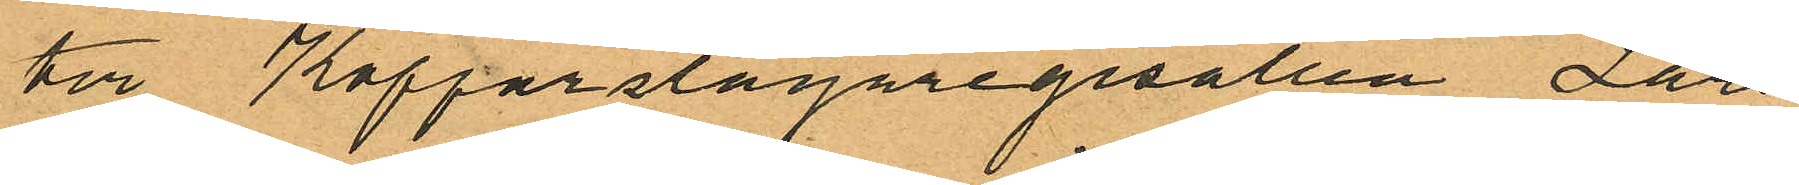ter Kopparslagaregesällen Lars
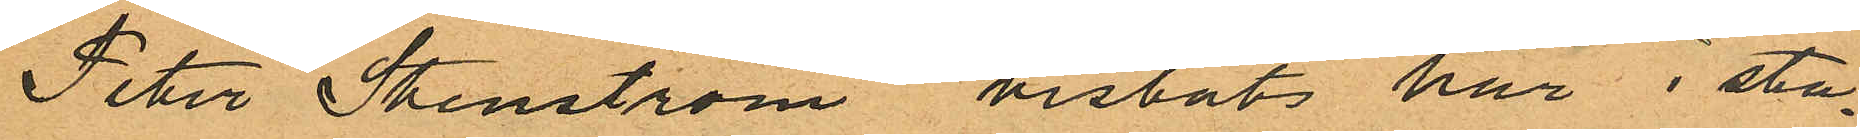Peter Stenström vistats här i sta¬
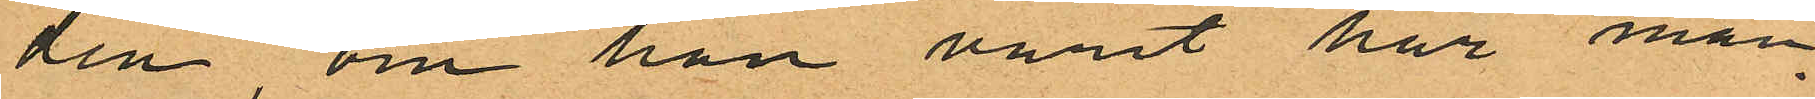den, om han varit här man¬
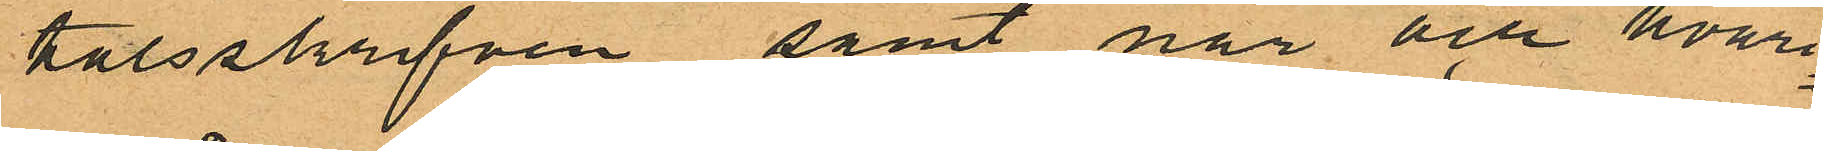talsskrifven samt när och hvari¬
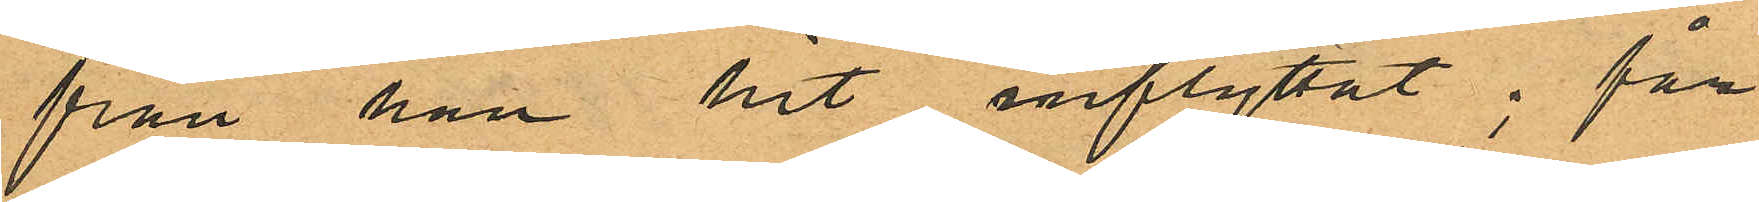från han hit inflyttat; får
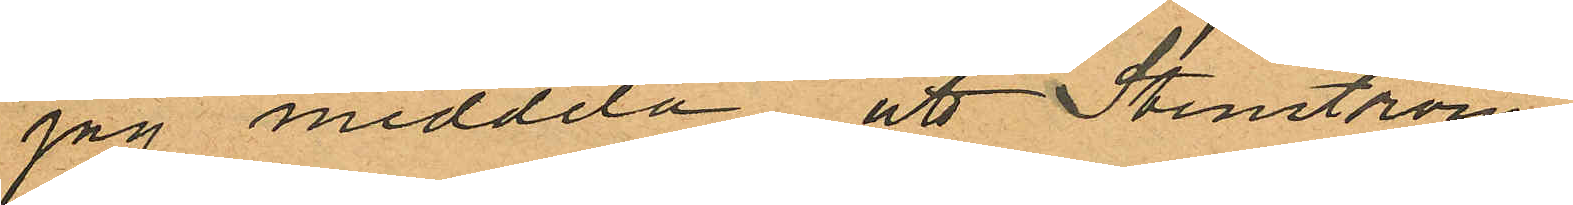jag meddela att Stenström
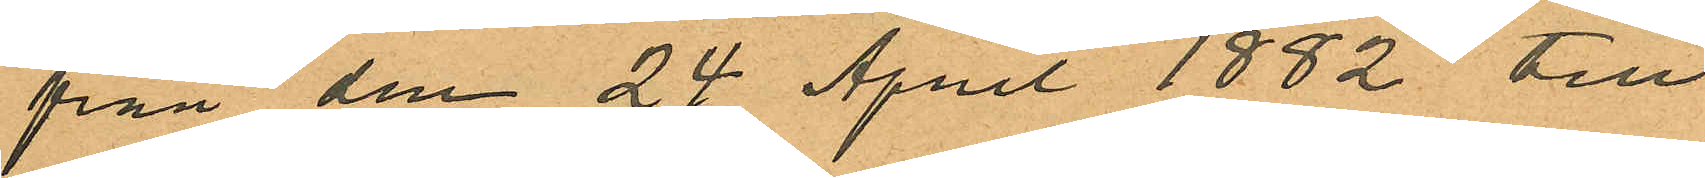från den 24 April 1882 till
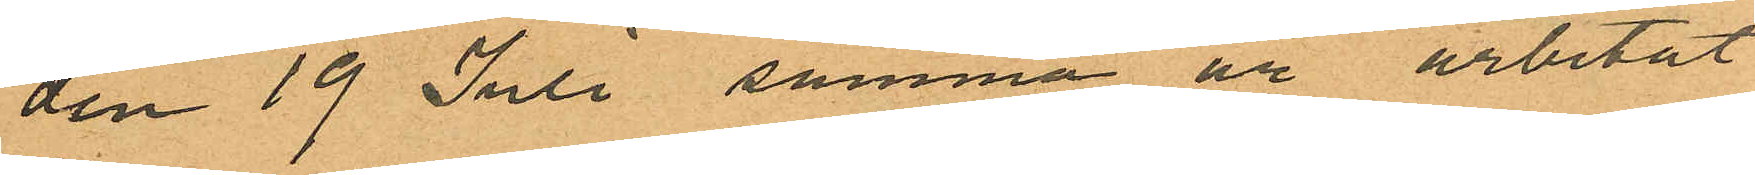den 19 Juli samma år arbetat
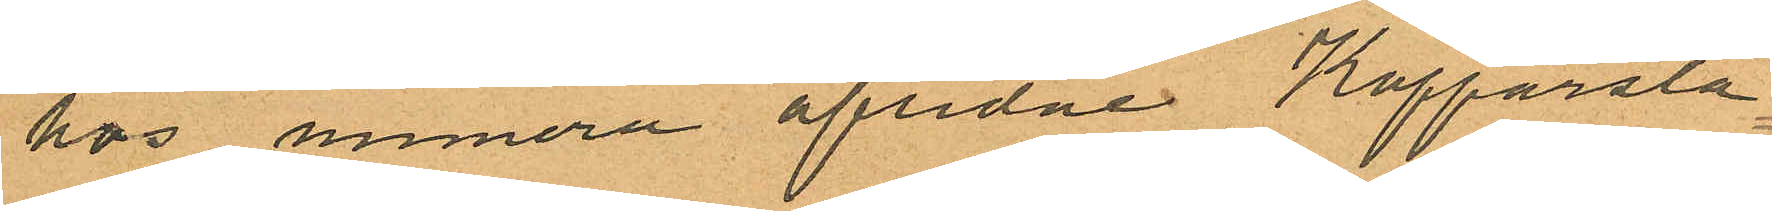hos numera aflidne Kopparsla¬
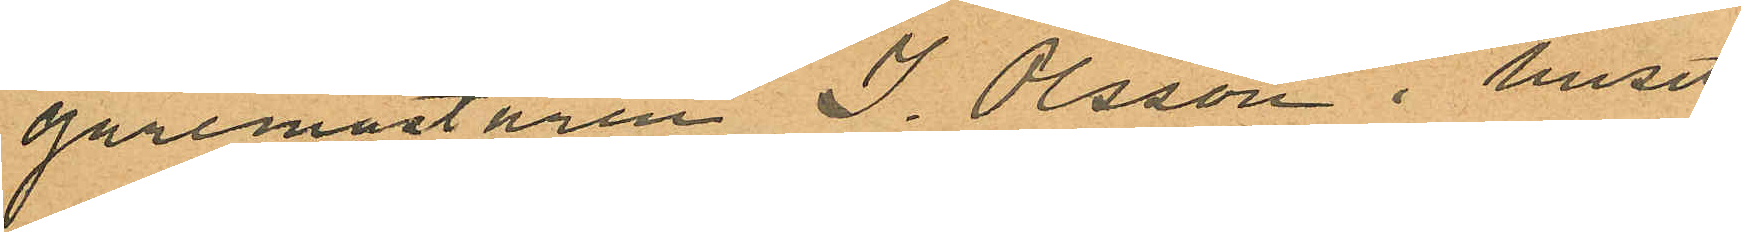garemästaren J. Olsson i huset
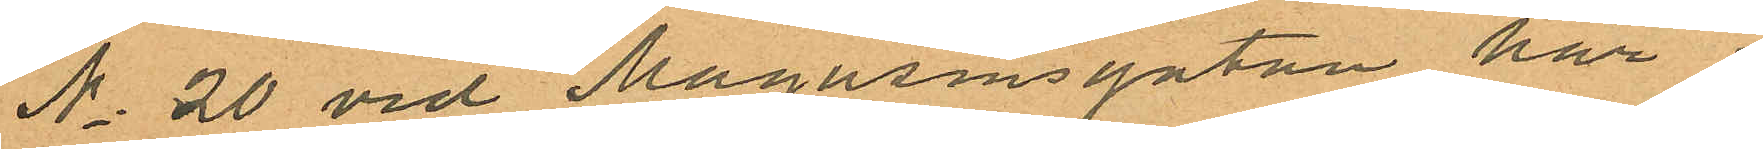No 20 vid Magasinsgatan här i
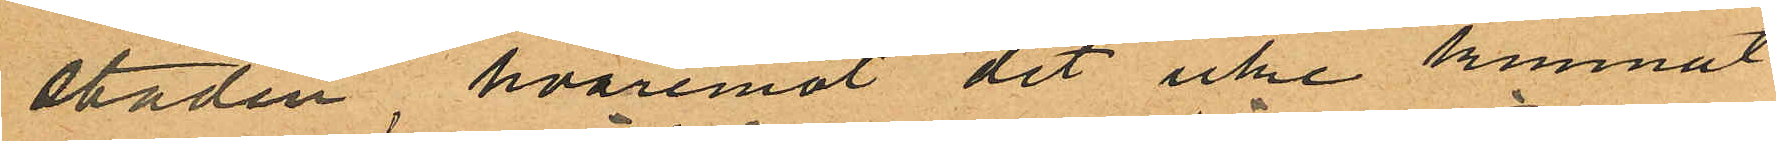staden, hvaremot det icke kunnat
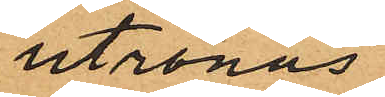utrönas
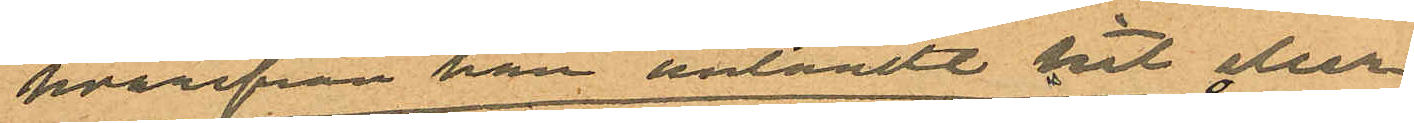hvarifrån han anländt hit eller
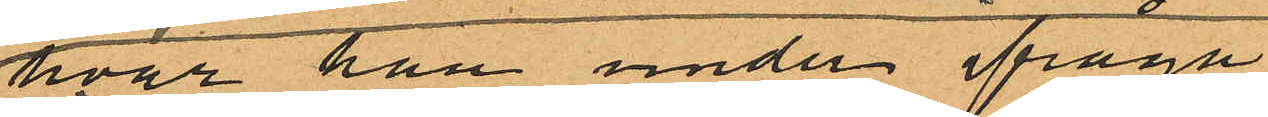hvar han under ifråga¬
